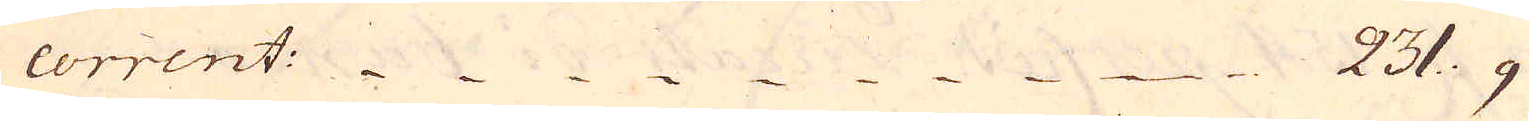corrent: 231: 9
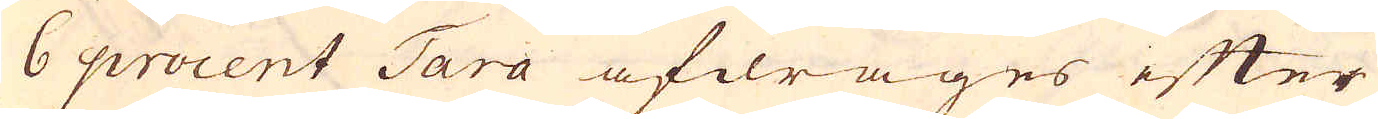6 procent Tara afdrages efter
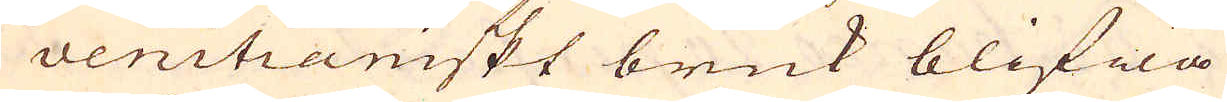venitianiskt bruk blifwa
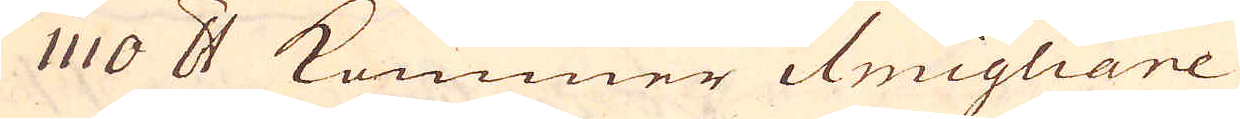1110 skålpund kommer ilmigliare
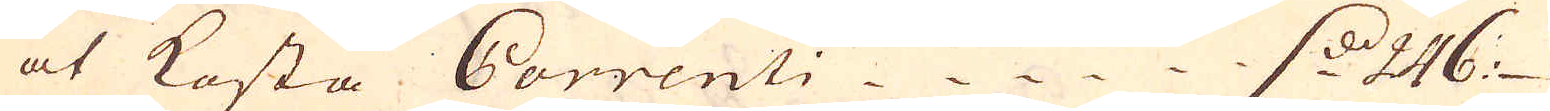at kosta Correnti d. 246
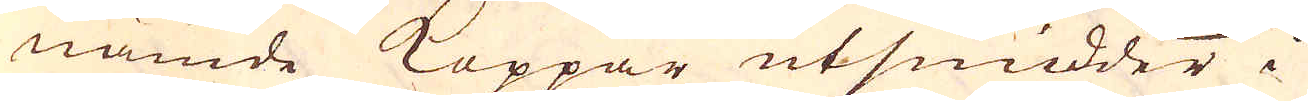nämde Koppar utsmidder i
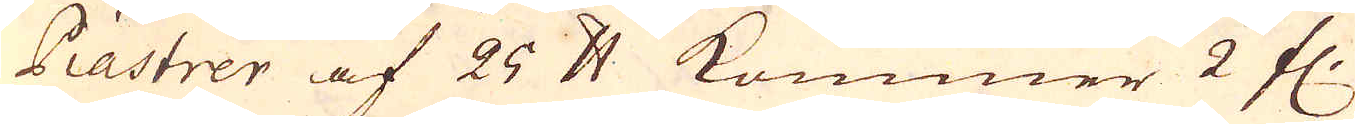Piastrer af 25 skålpund kommer 2 fl:
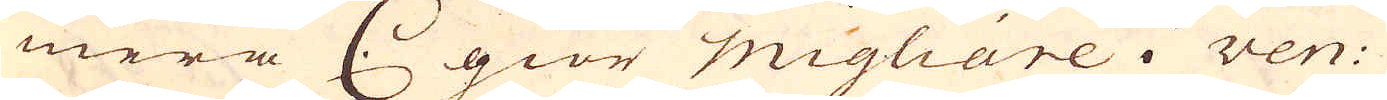mera C. giör migliare i Ven:
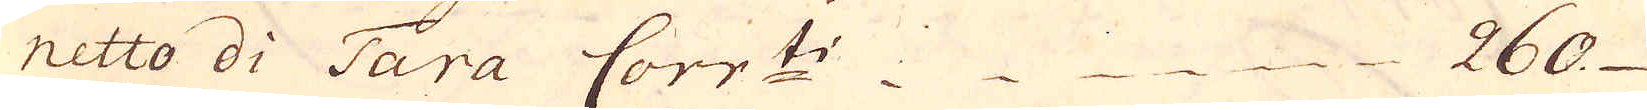netto di Tara Corr:ti 260
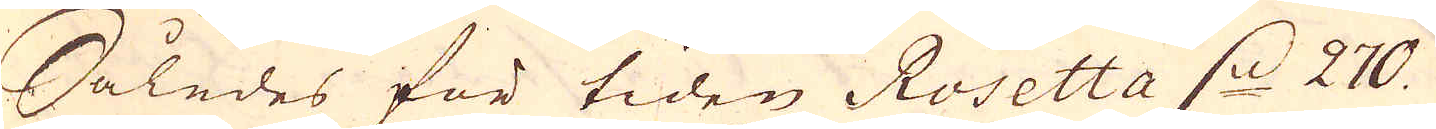Således för tiden Rosetta d. 270.
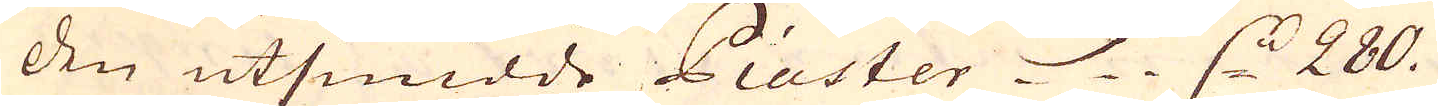den utsmidde Piaster d. 280.
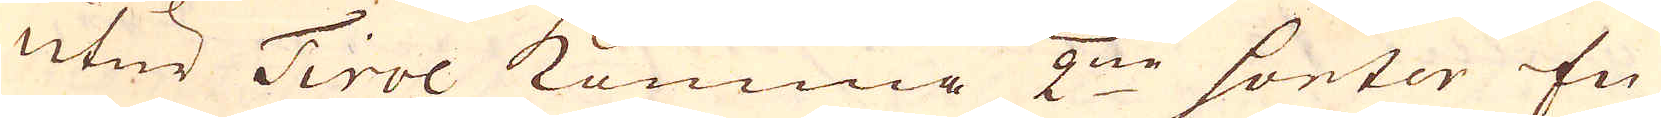utur Tirol komma 2:ne sonter En
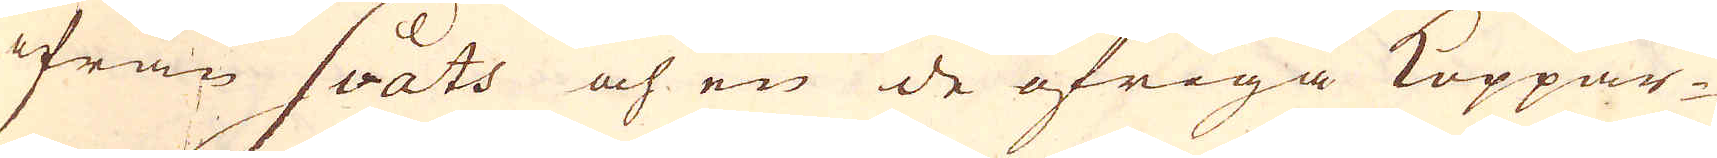ifrån Svats och en de öfriga Koppar-
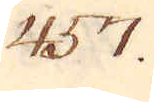457.
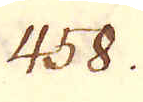458.
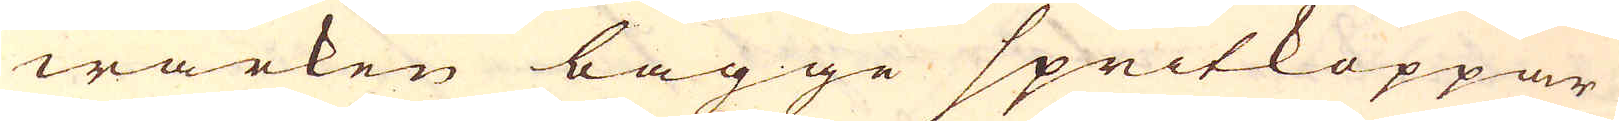wärken bägge spritkoppar
